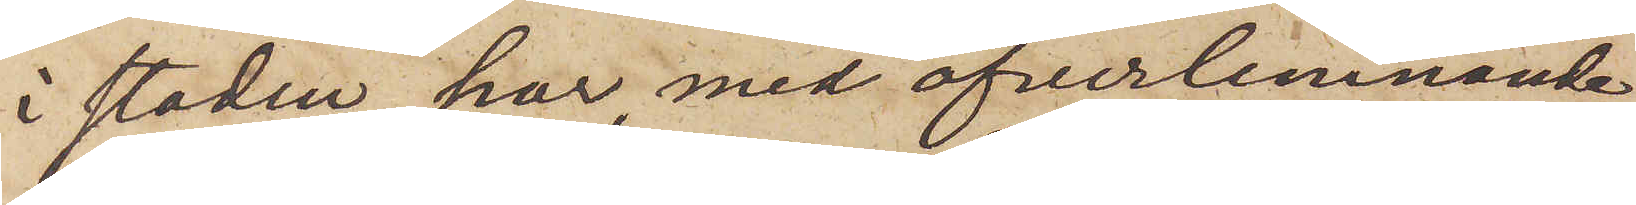i staden har, med öfverlemnande
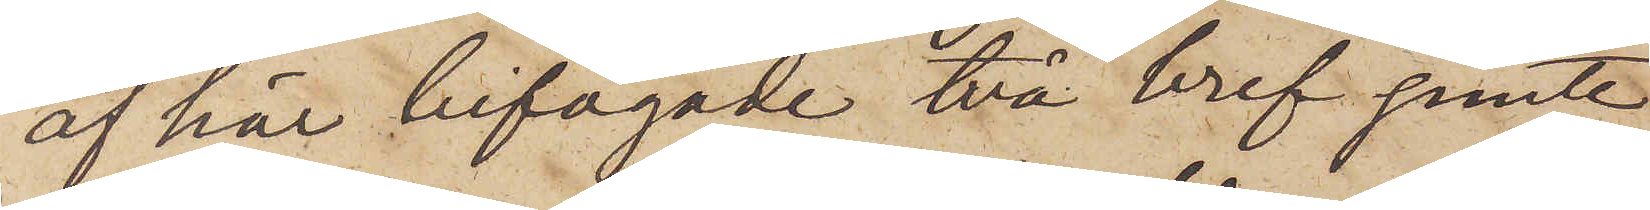af här bifogade två bref jemte
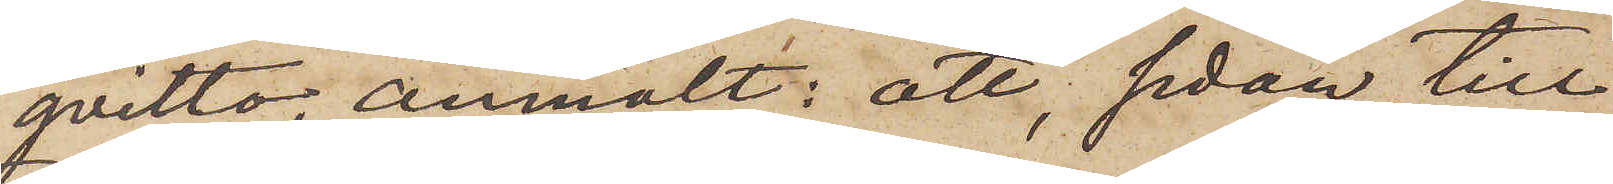qvitto, anmält: att, sedan till
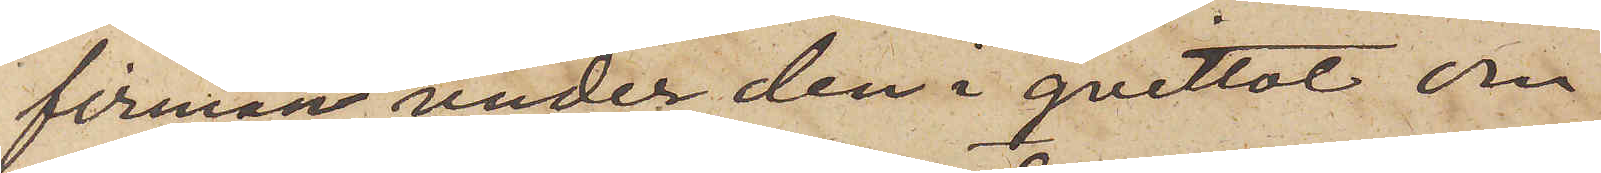firman under den i qvittot om¬
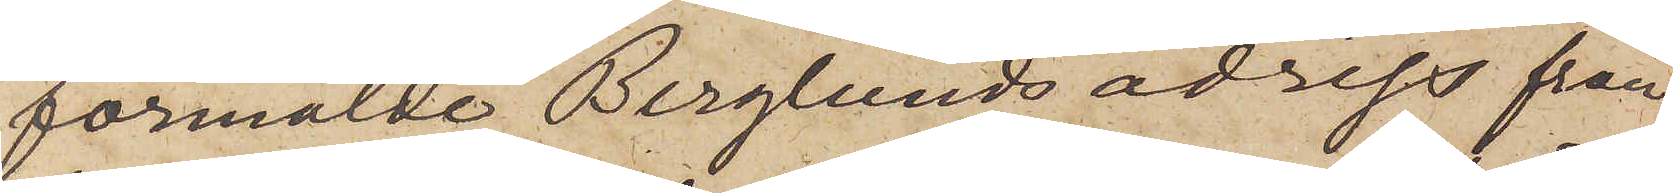förmälde Berglunds adress från
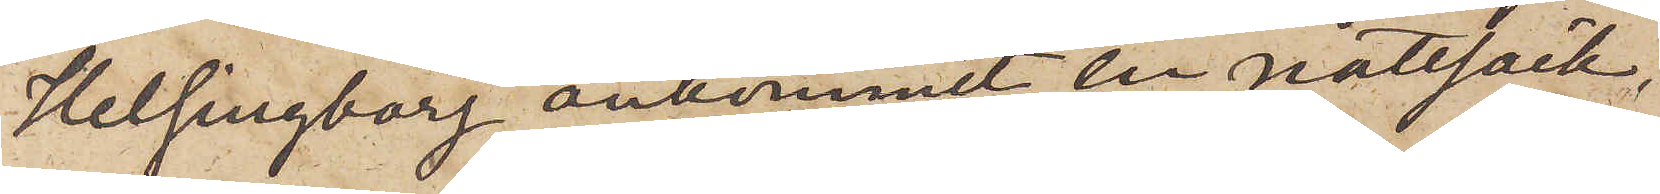Helsingborg ankommit en nattsäck,
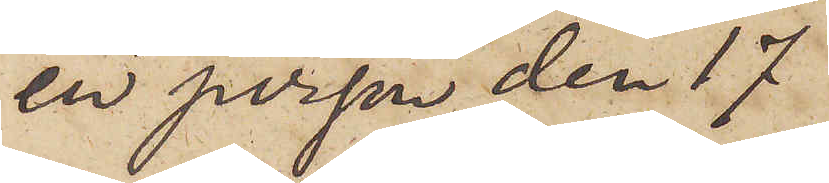en person den 17
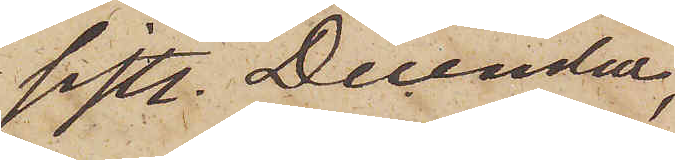sistl. December,
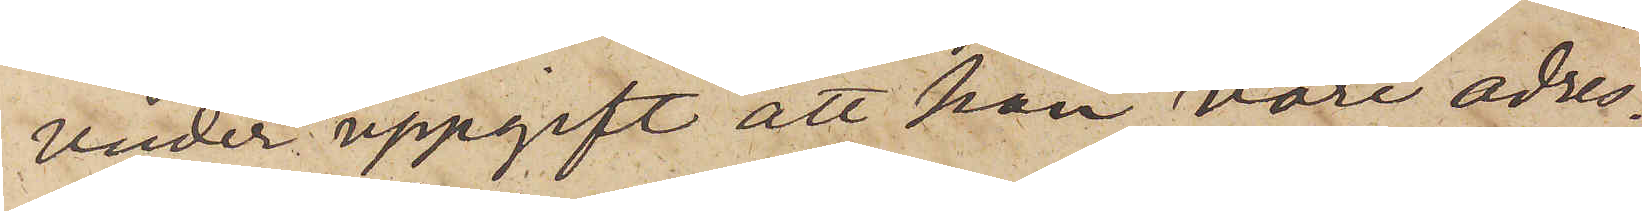under uppgift att han vore adres¬
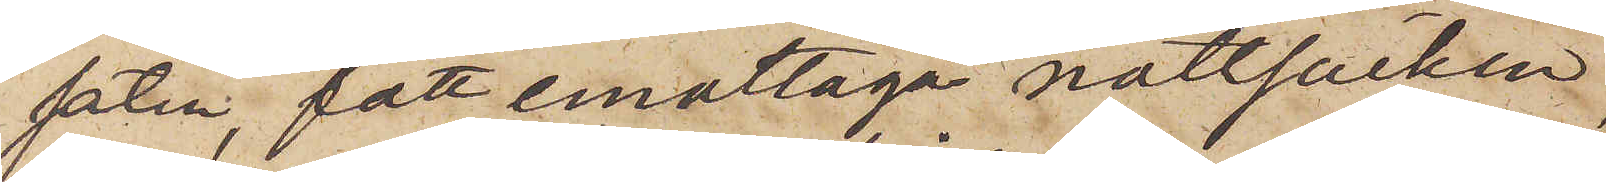saten, fått emottaga nattsäcken,
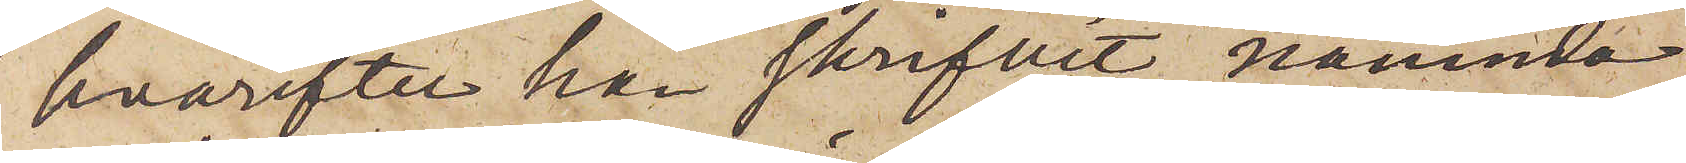hvarefter han skrifvit nämnda
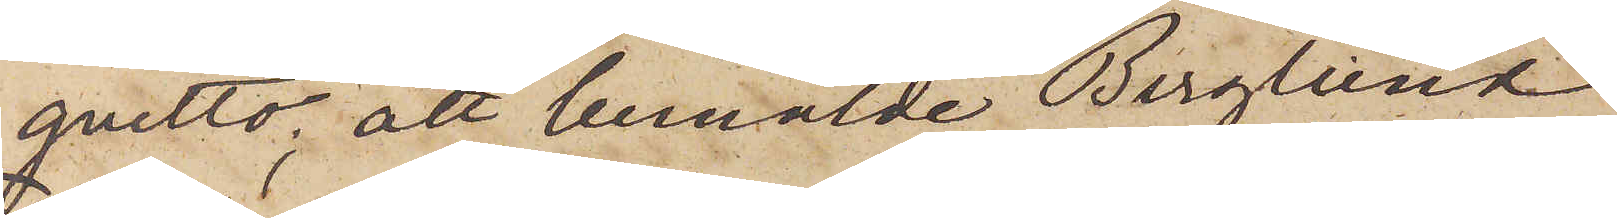qvitto, att bemälde Berglund
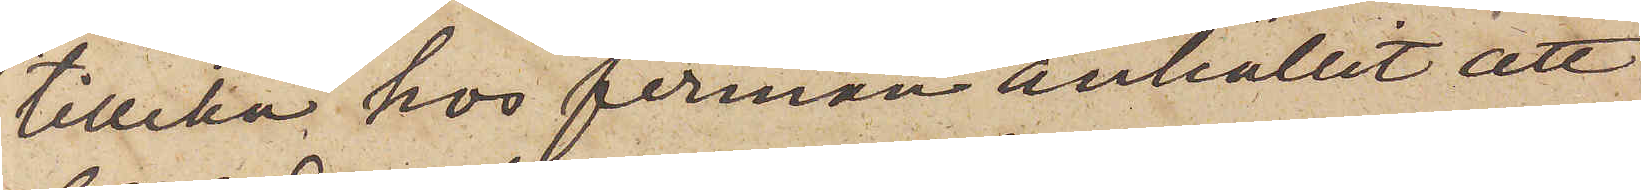tillika hos firman anhållit att
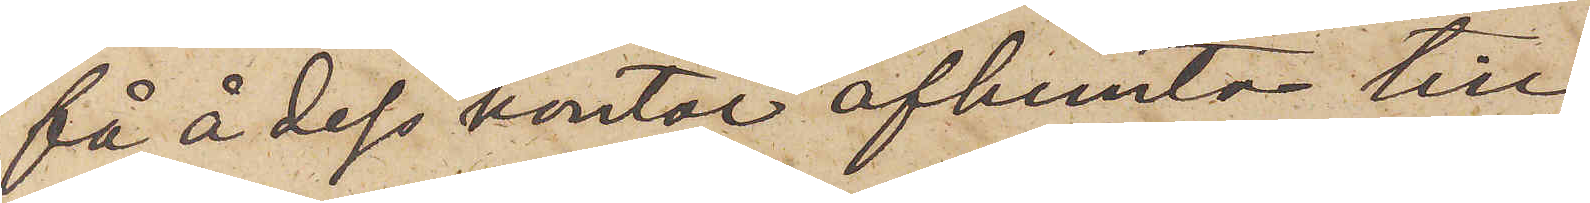få å dess kontor afhemta till
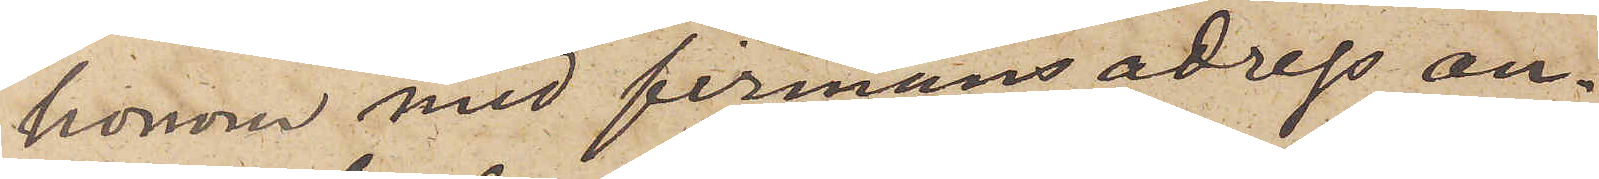honom med firmans adress an¬
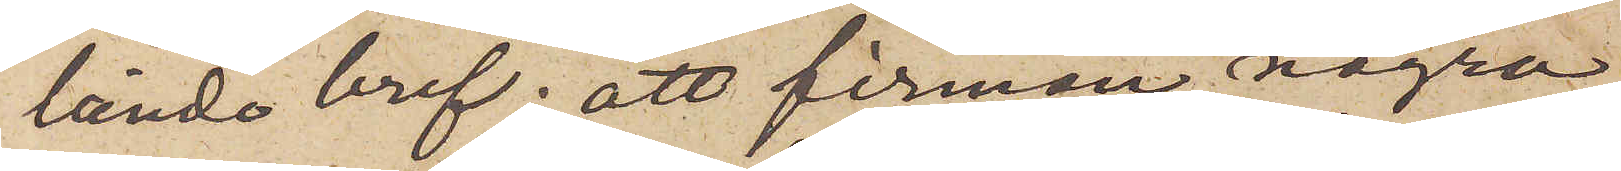lända bref; att firman några
